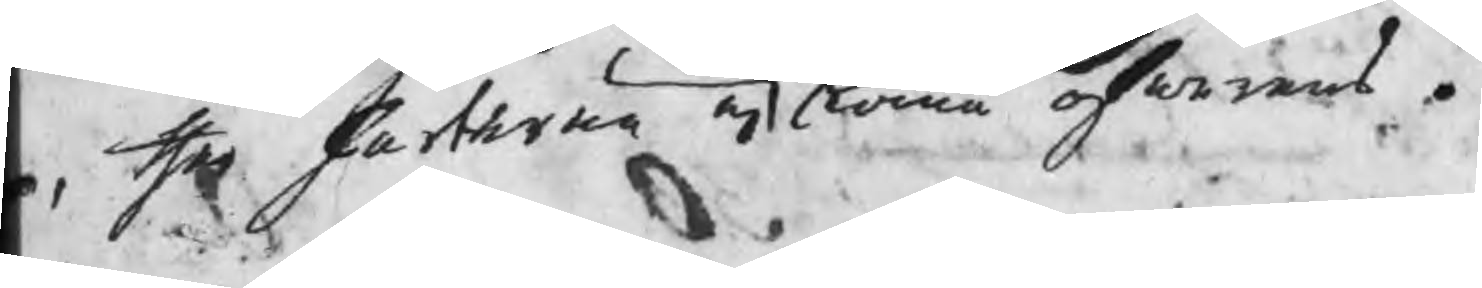n, ther Parterna ej komma öfwerens.
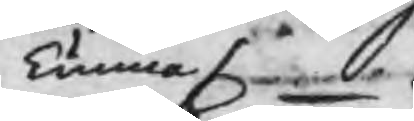kunna
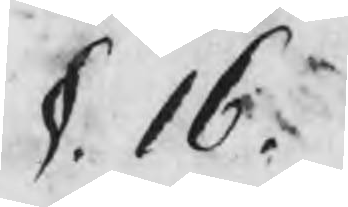§. 16.
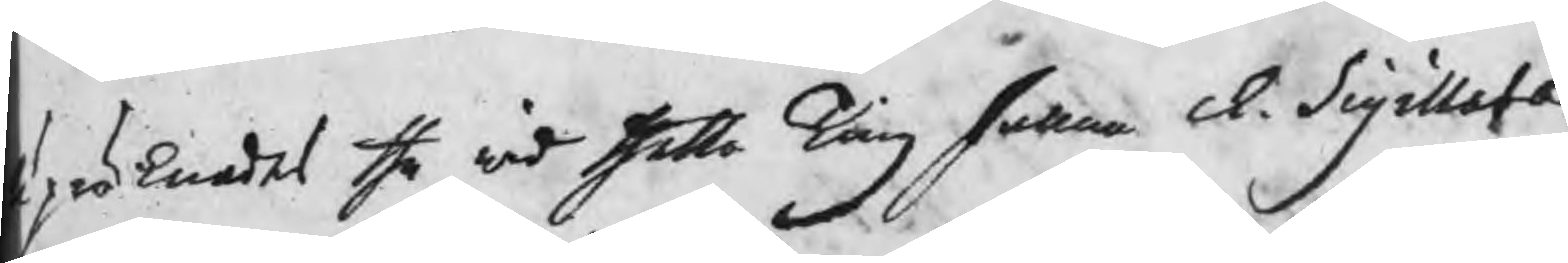präknades the wid thetta Ting fallne Ch. Sigillatæ
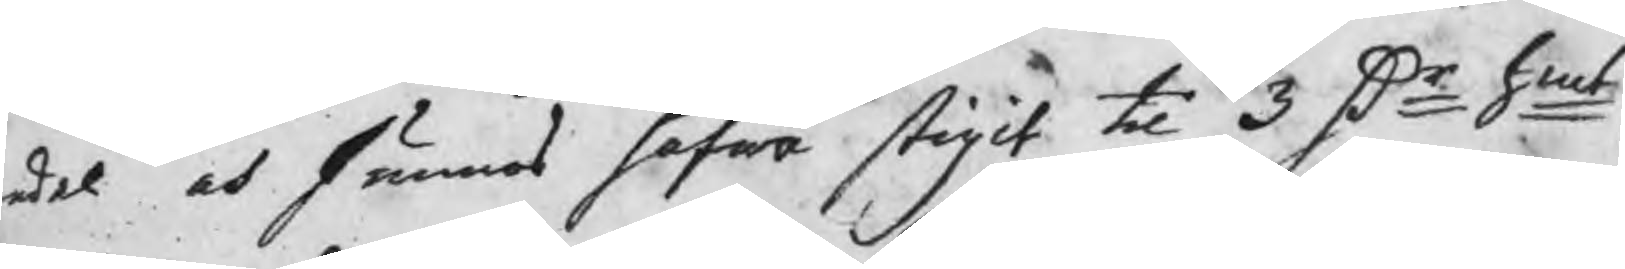edel och funnos hafwa stigit til 3 Dr Smt,
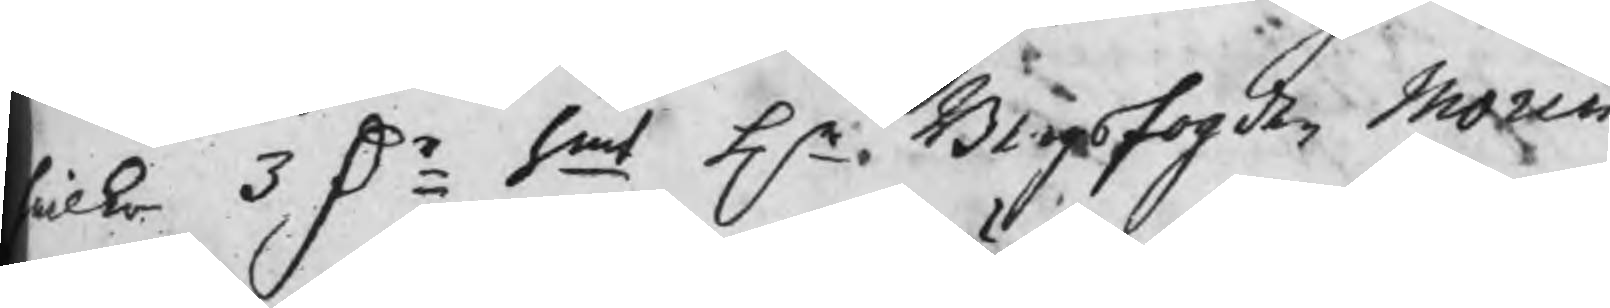wilka 3 Dr Smt Hr Bergsfogden Morin
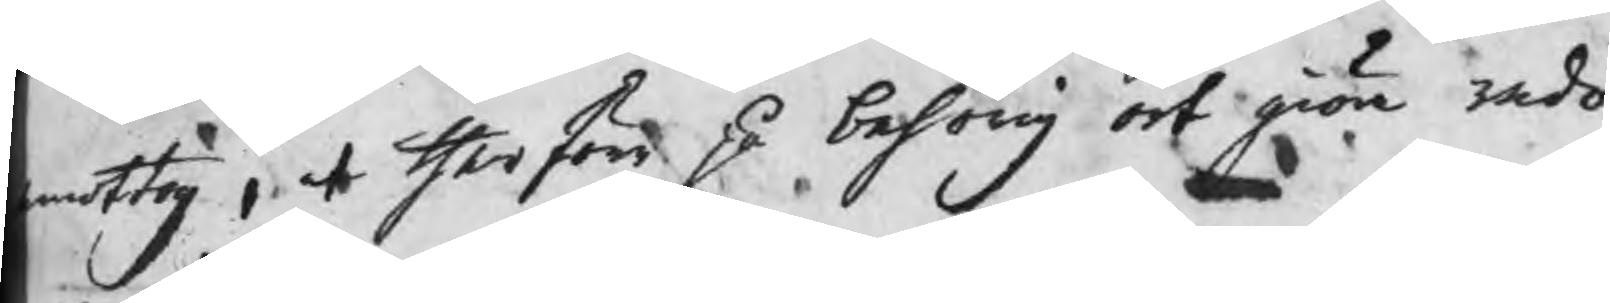mottog, at therföre på behörig ort giöra redo
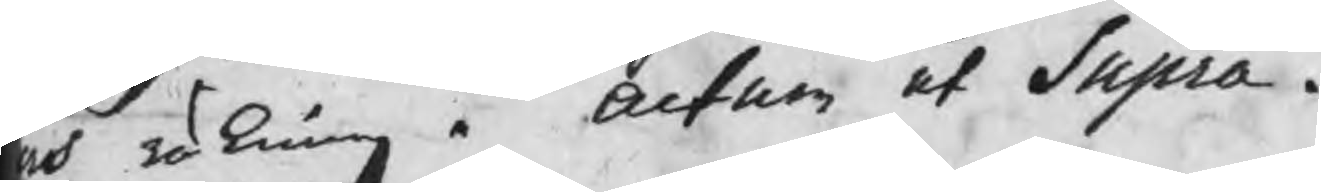ch räkning. Actum ut Supra.
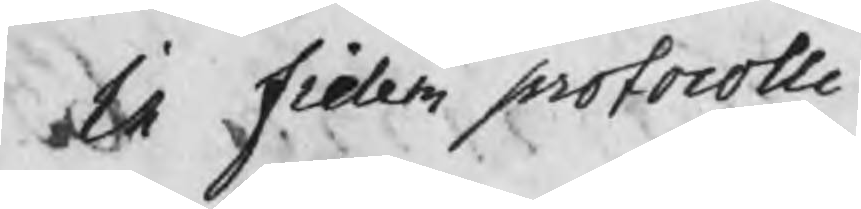In fidem protocolli
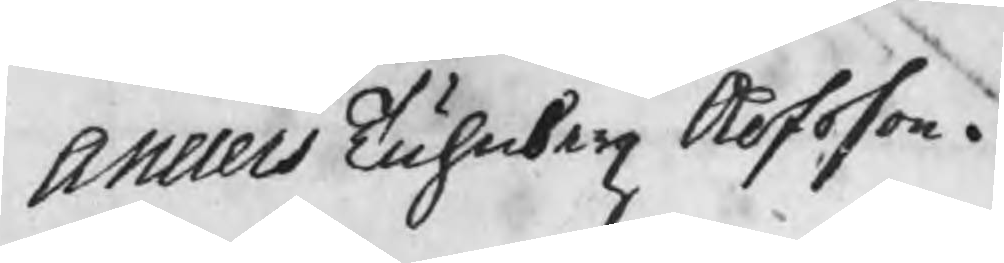Anders Tuhnberg Olofsson.
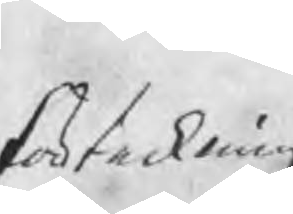förteckning
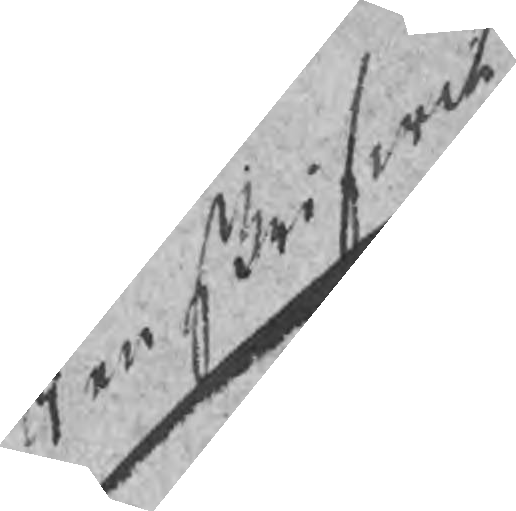Renskrifwit
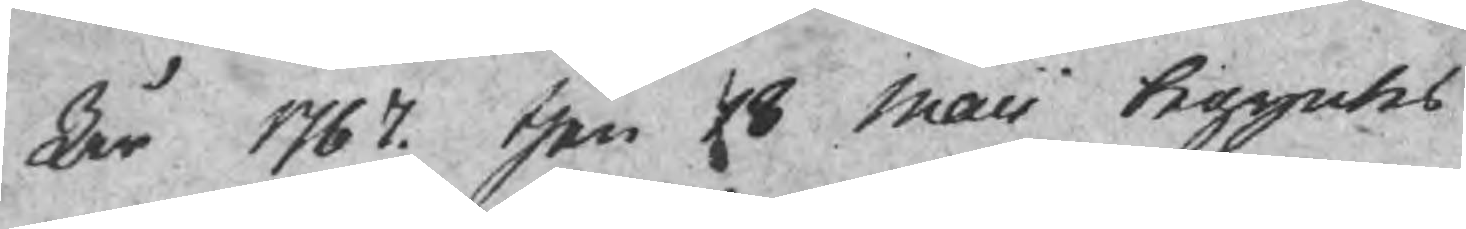År 1767 then 18 Maii begyntes
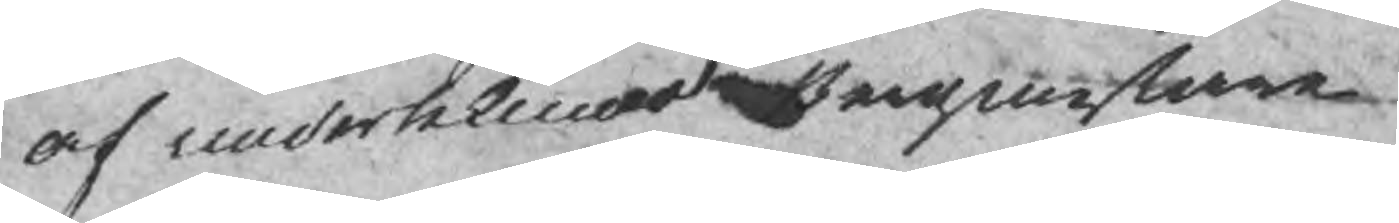af underteknad Bergmestare
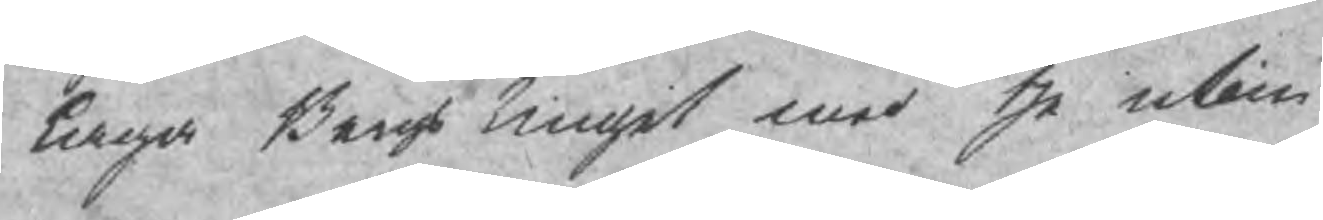laga Bergs tinget med the utom
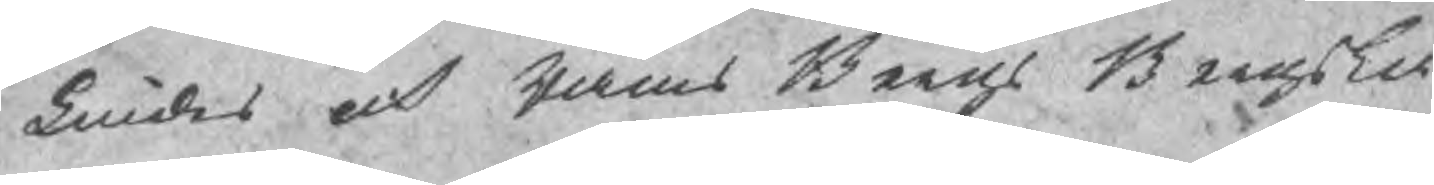Lindes och Rams Bergs Bergsla¬
